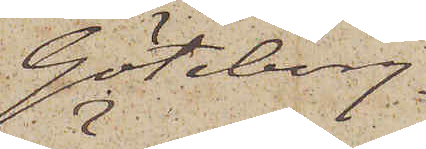Göteborg.
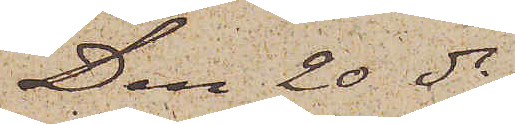Den 20 ds
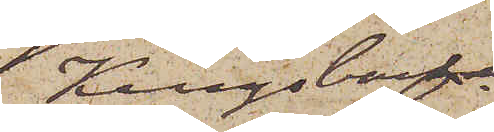Kungsbacka
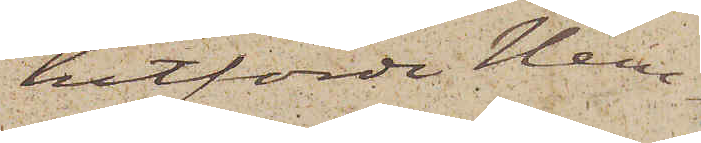hitförde Hem¬
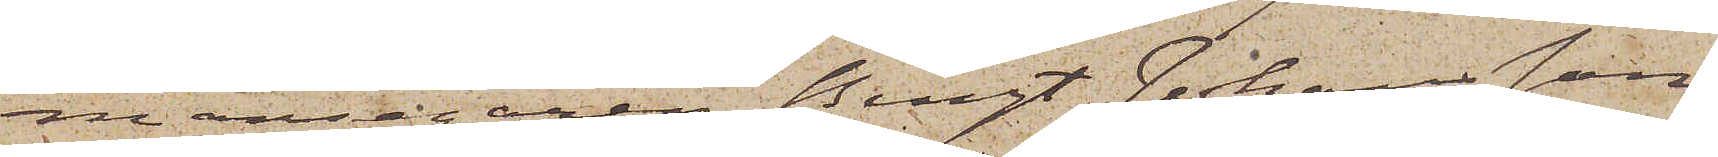mansegaren Bengt Johansson
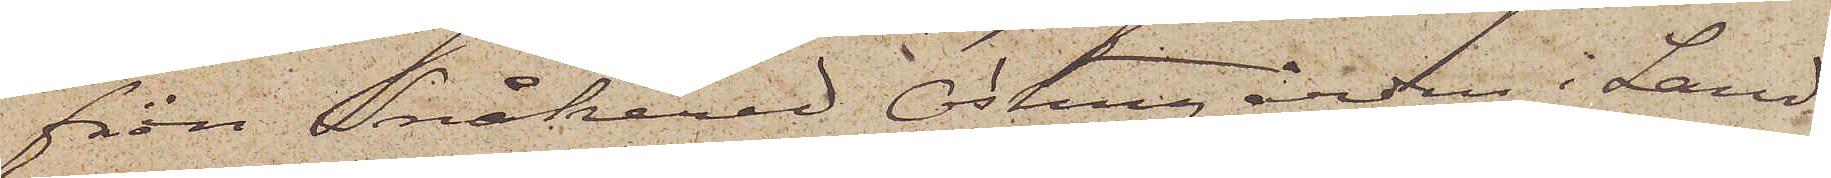från Snåkered Östergården i Land¬
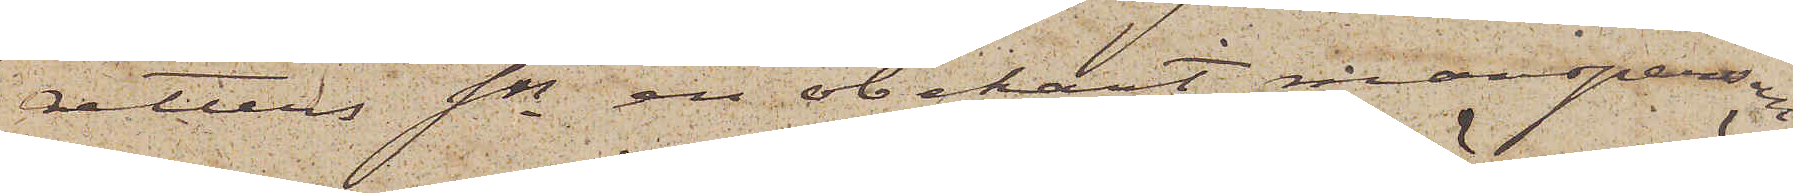vetters sn en obekant mansperson
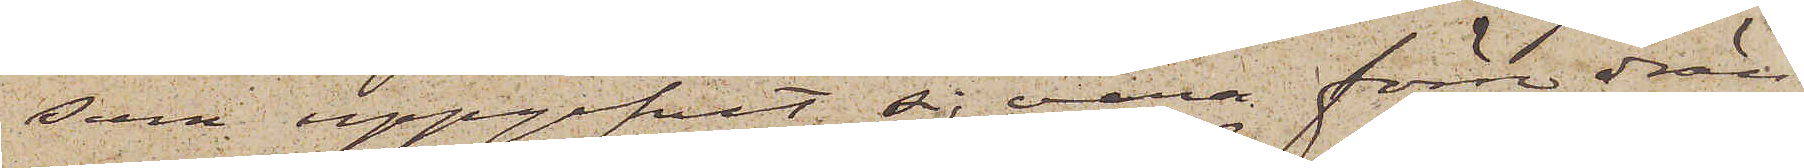som uppgifvit sig vara förre drän¬
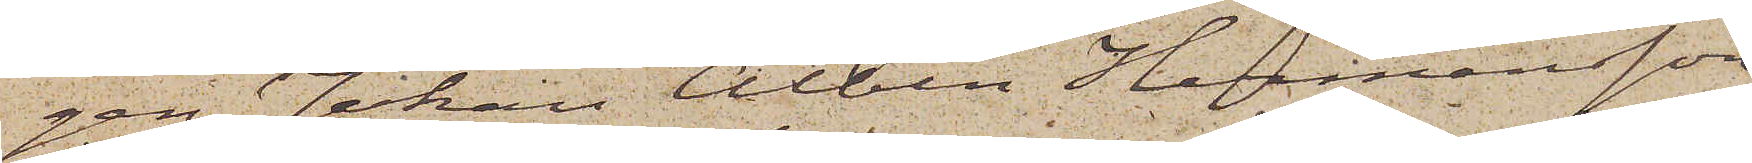gen Johan Albin Hermansson
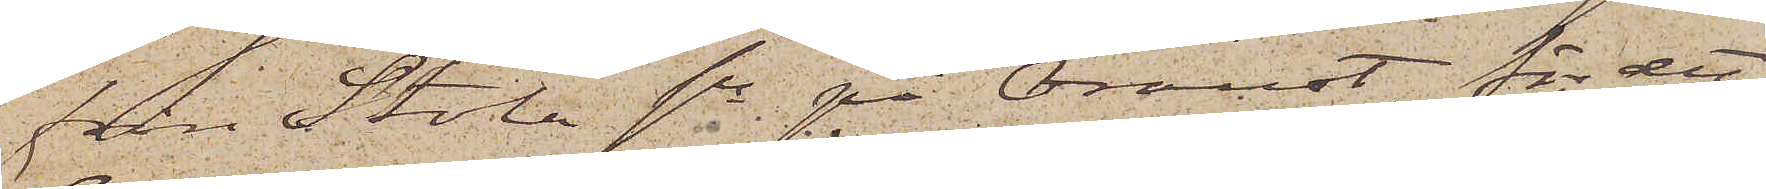från Stala sn på Oroust, för det
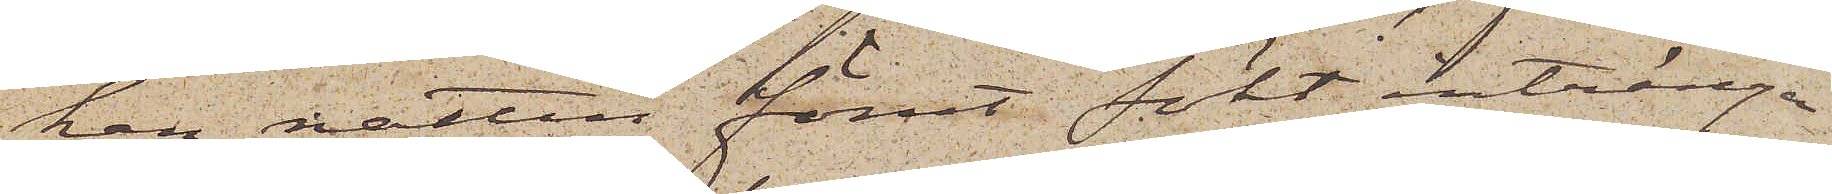han natten förut sökt intränga
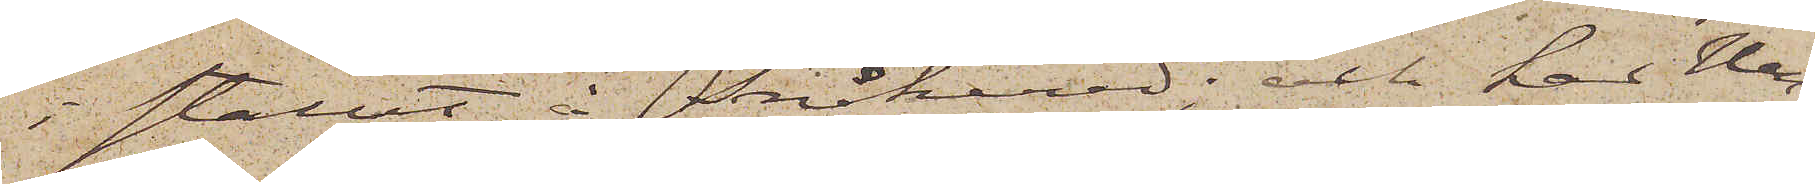i stallet i Snåkered; och har He¬
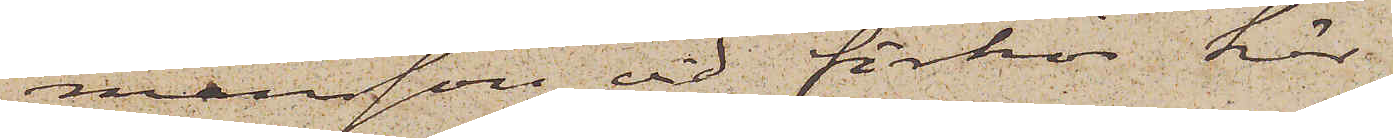mansson vid förhör här
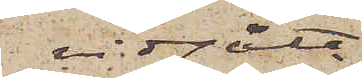vidgått
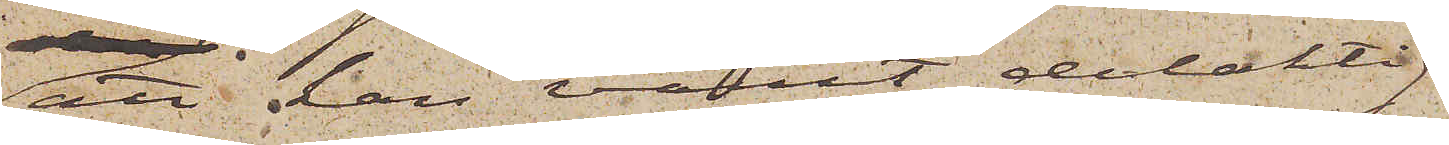att han varit delaktig
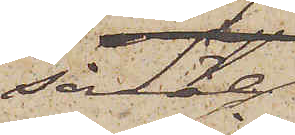såväl
